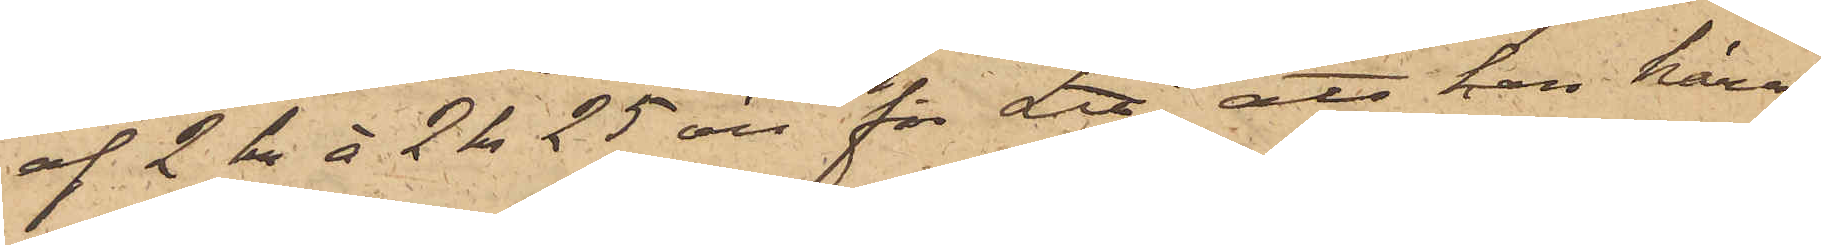af 2 kr à 2 kr 25 öre för L℔, att han häraf
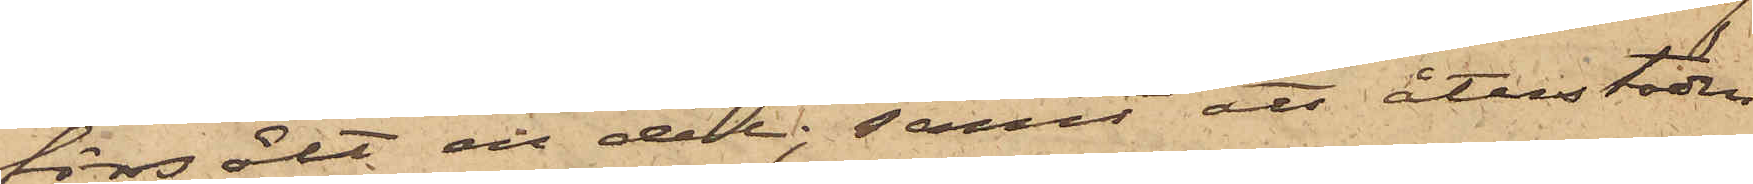försålt en del; samt att återstoden
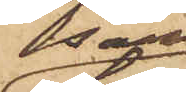som
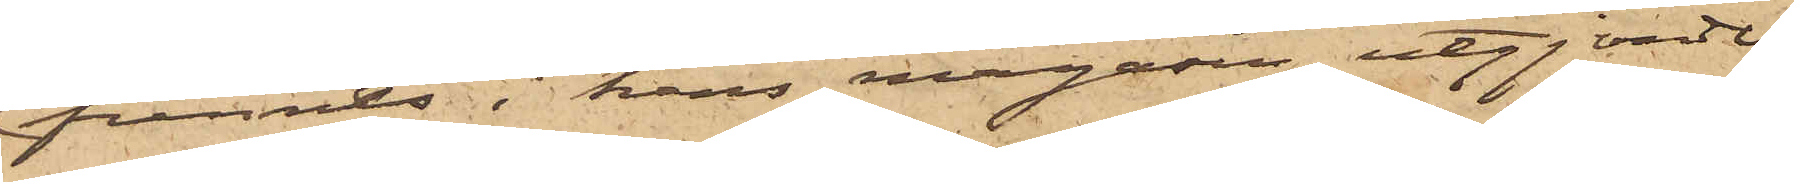funnits i hans magasin, utgjorde
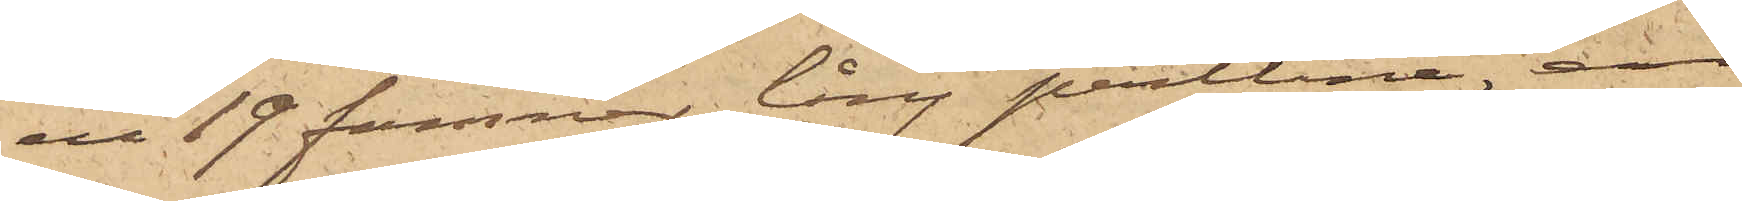en 19 famnar lång pertlina, en
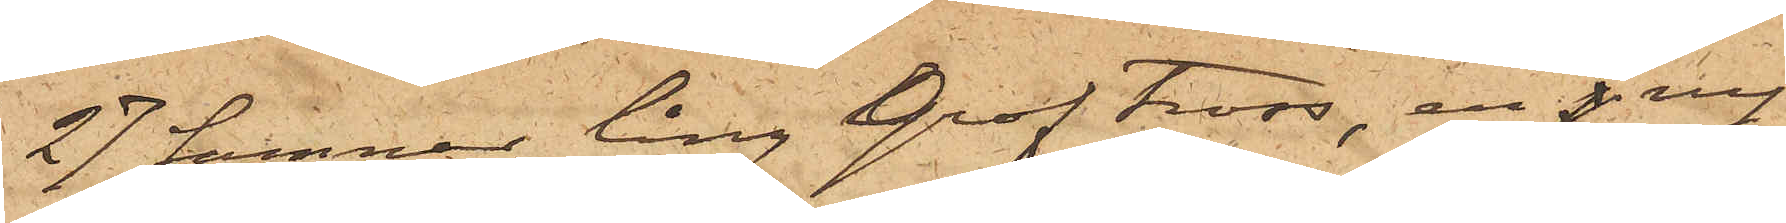27 famnar lång grof tross, en ny
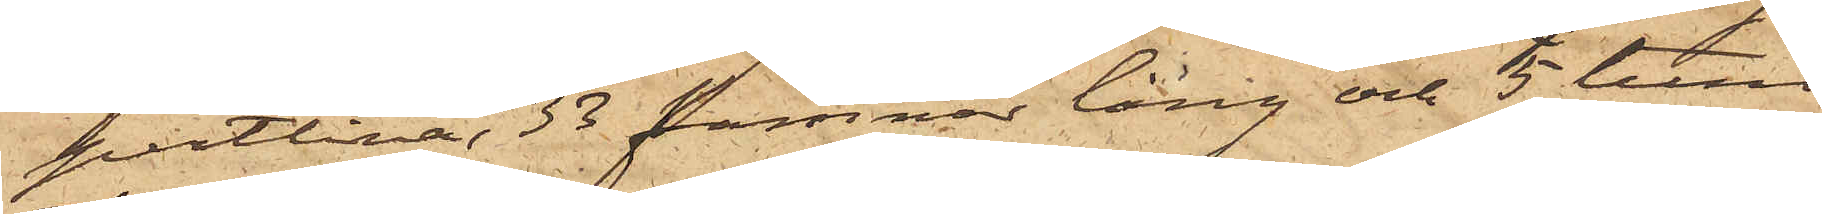pertlina, 33 famnar lång och 5 tum
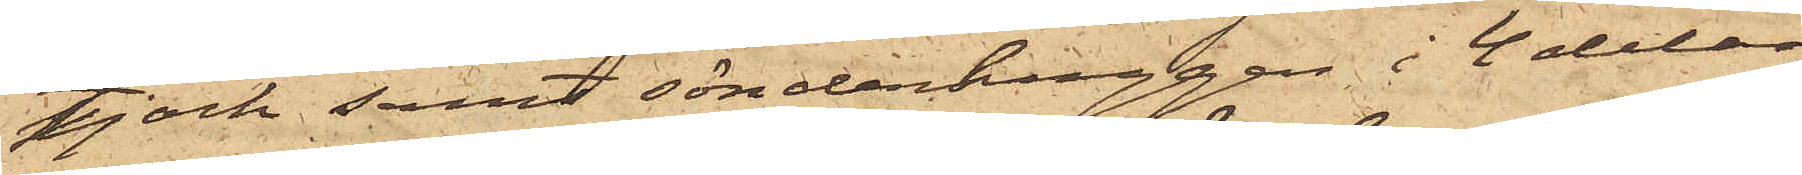tjock samt sönderhuggen i 4 delar,
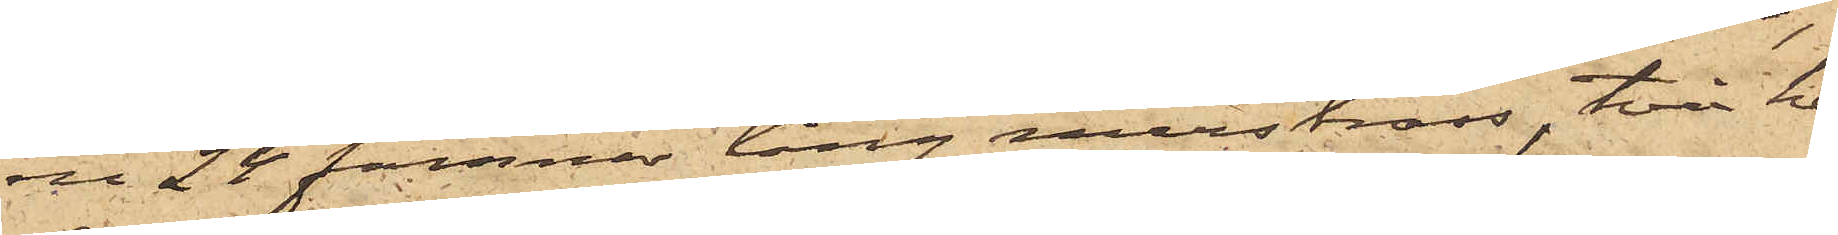en 24 famnar lång märstross, två he¬
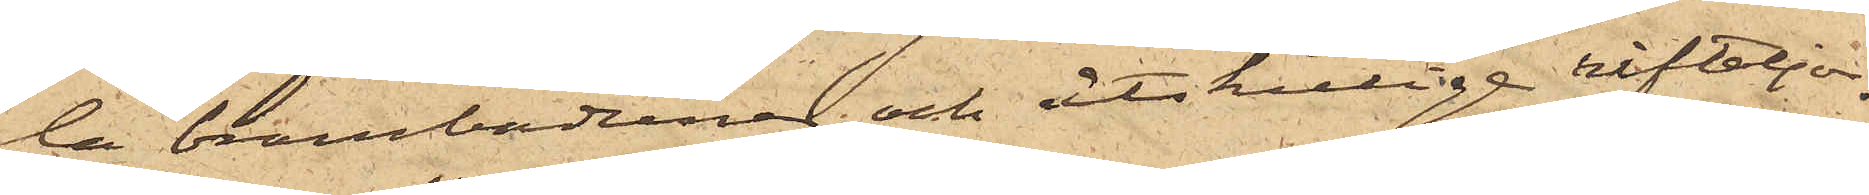la brambarduner och åtskillige revtaljor.
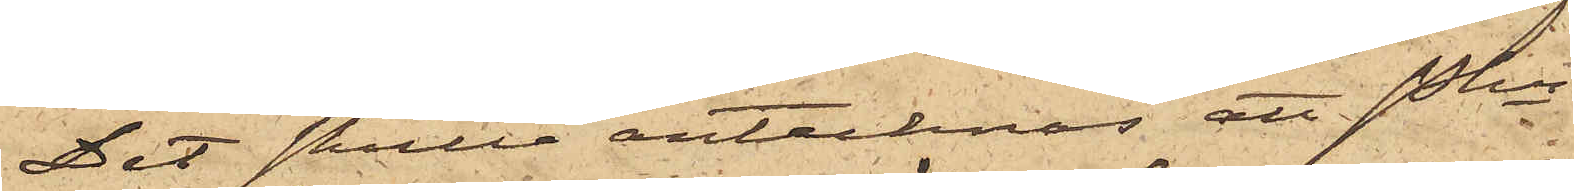Det skulle antecknas att Pkn
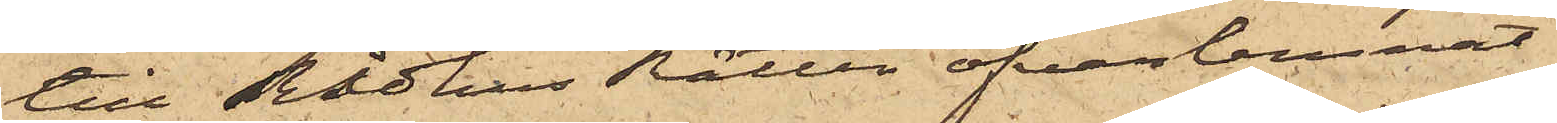till Rådhus Rätten öfverlemnat
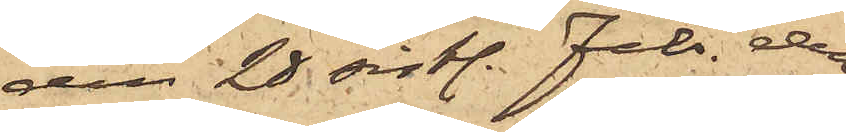den 28 sistl. Febr. den
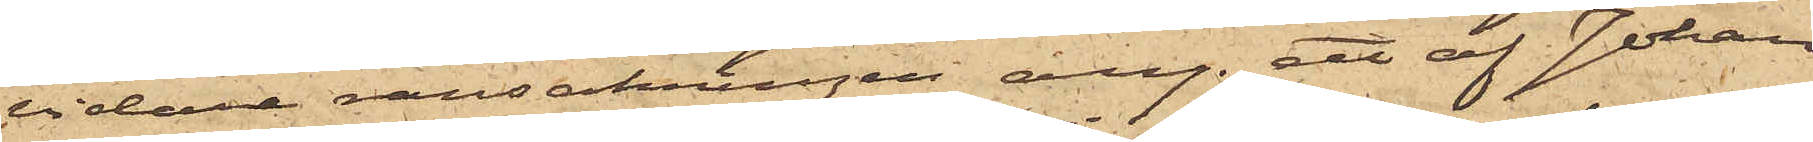vidare ransakningen ang. ett af Johan
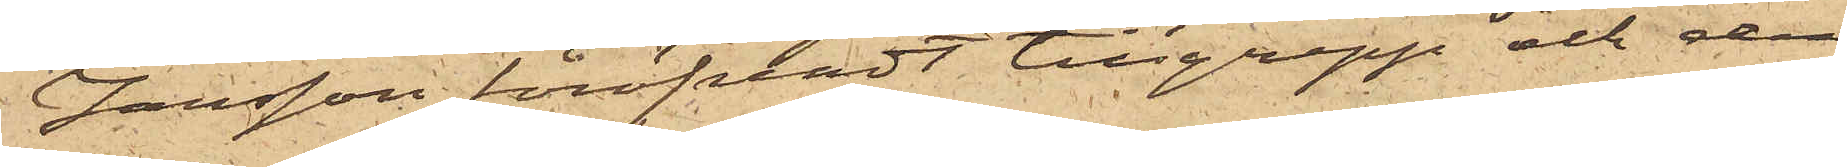Jansson föröfvadt tillgrepp och den
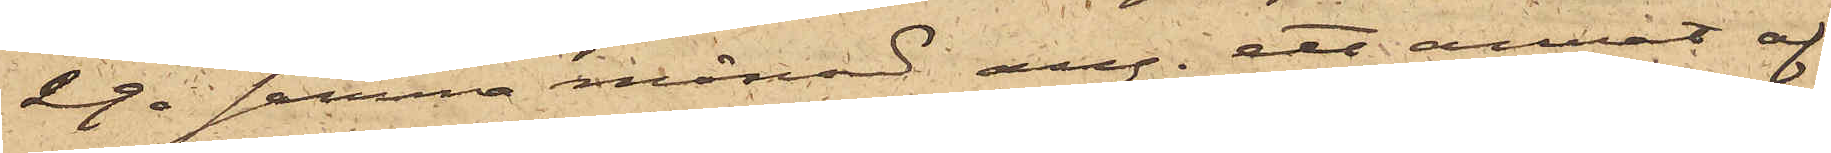29 i samma månad ang. ett annat af
